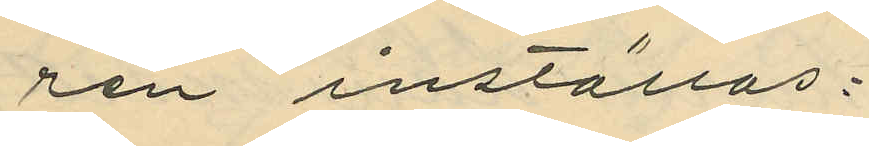ren inställas.
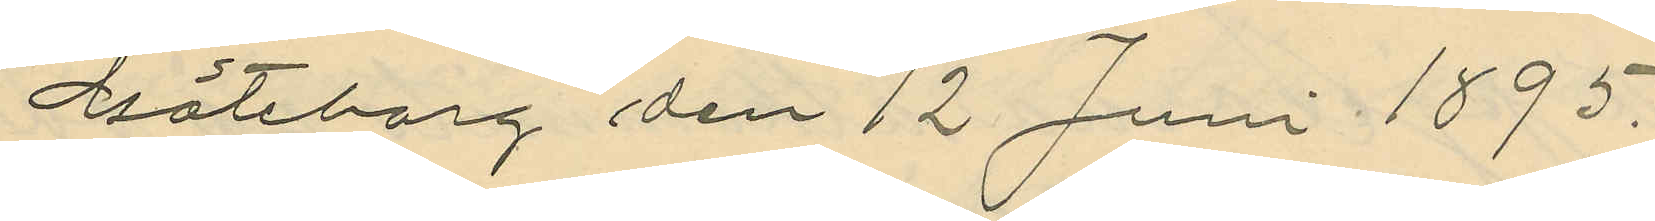Göteborg den 12 Juni 1895.
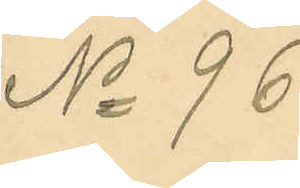No 96
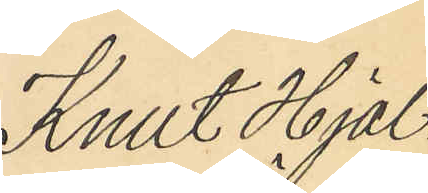Knut Hjal¬
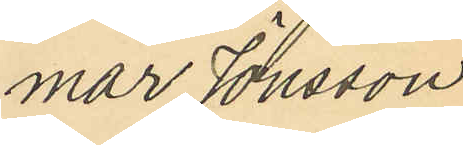mar Jonsson
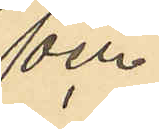och
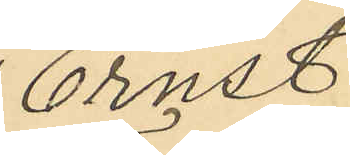Ernst
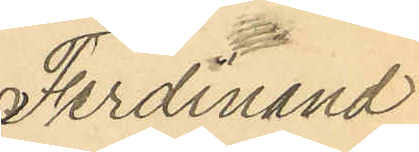Ferdinand
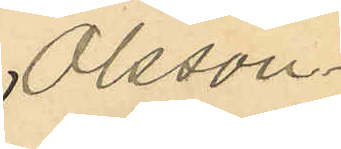Olsson.
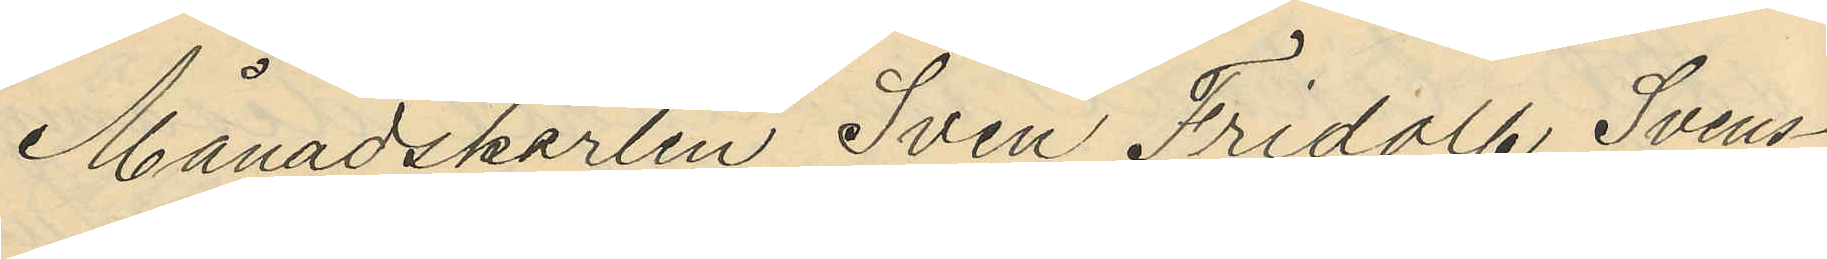Månadskarlen Sven Fridolf Svens¬
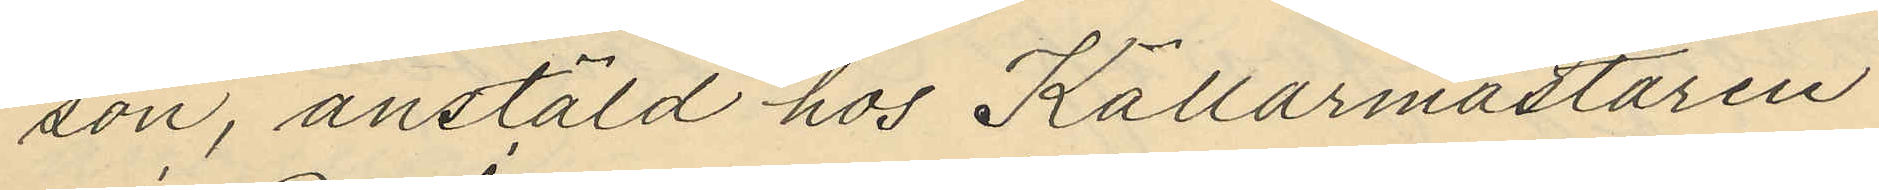son, anstäld hos Källarmästaren
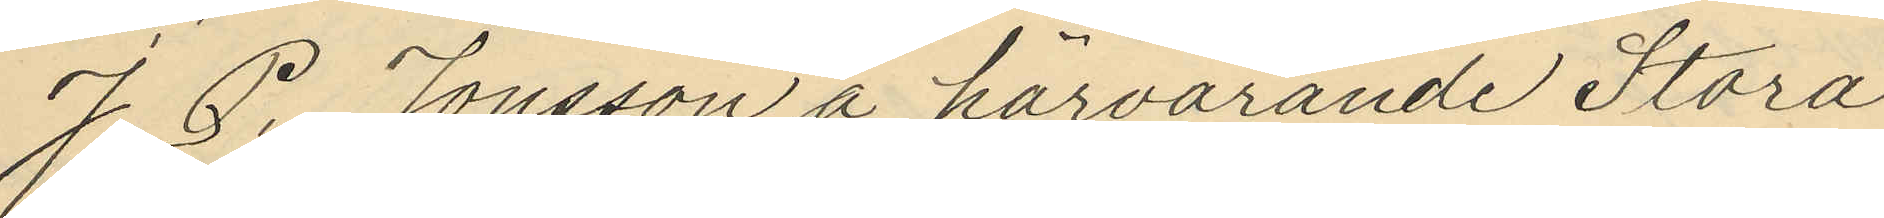J. E. Jonsson å härvarande Stora
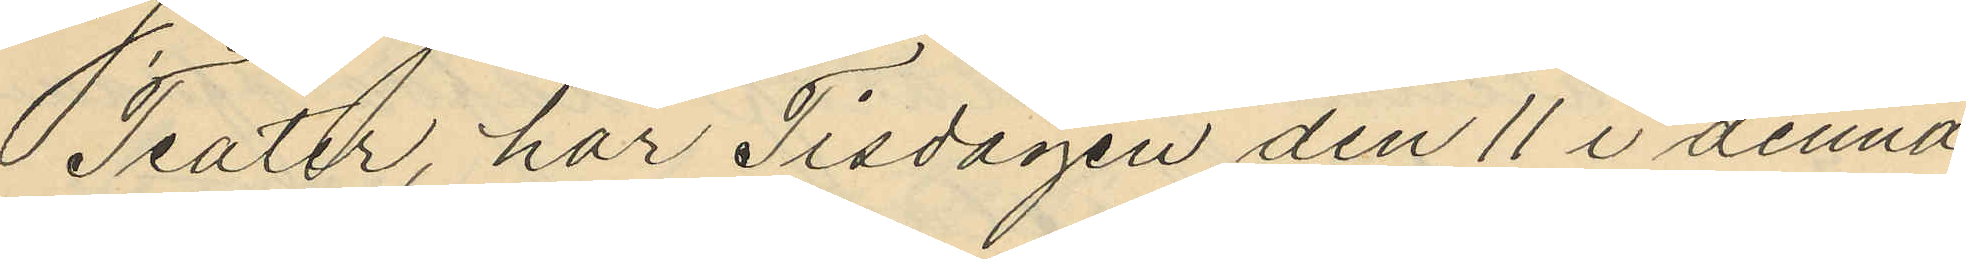Teater har Tisdagen den 11 i denna
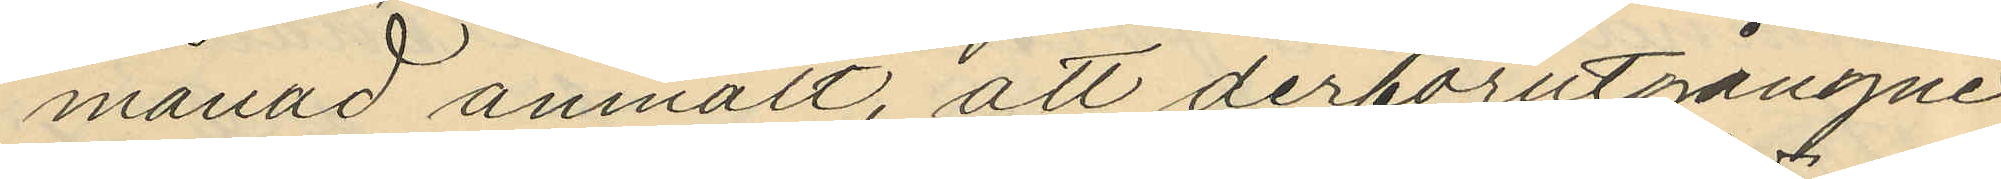månad anmält, att derförutgångne
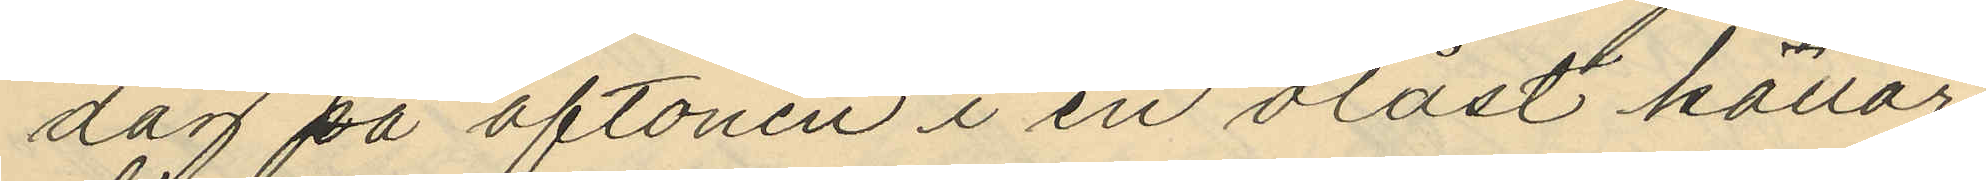dag på aftonen i en olåst källare
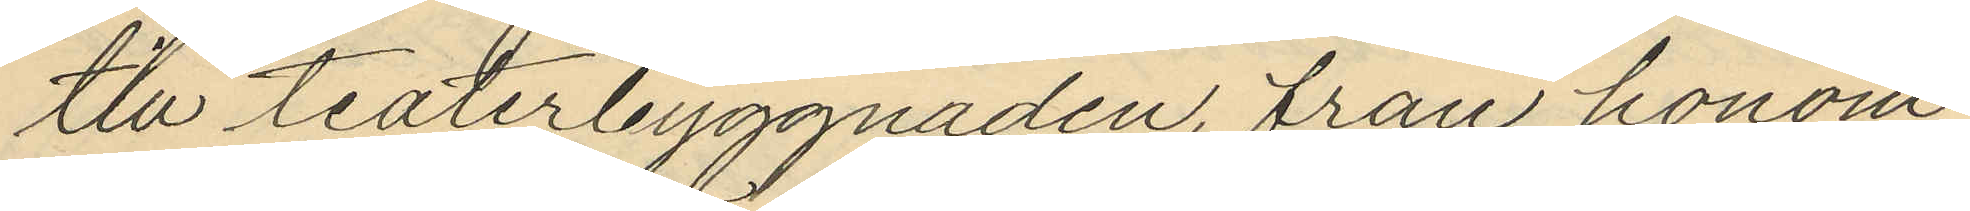till teaterbyggnaden, från honom
